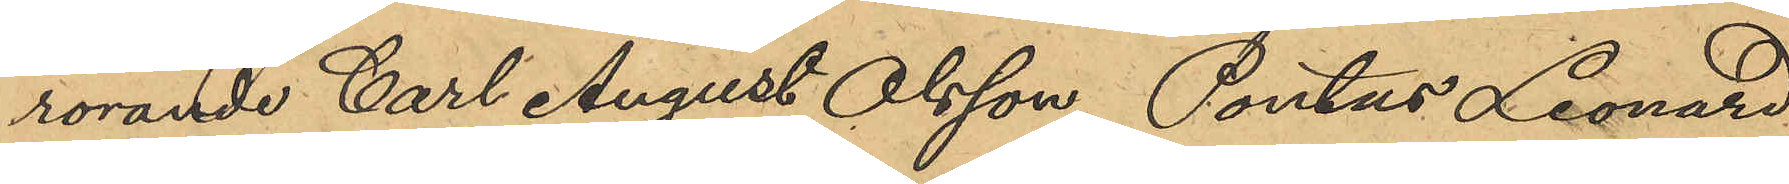rörande Carl August Olsson, Pontus Leonard
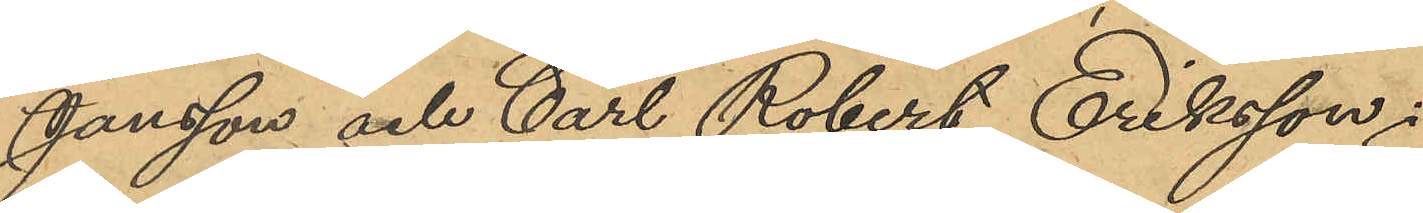Jansson och Carl Robert Eriksson;
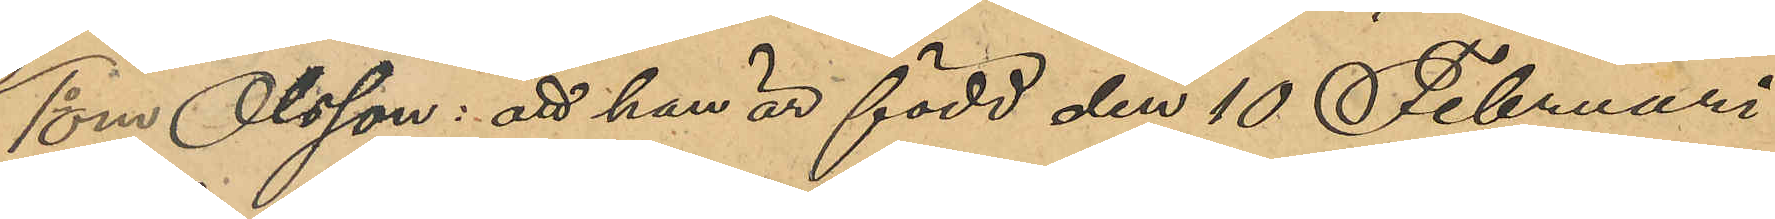1o om Olsson: att han är född den 10 Februari
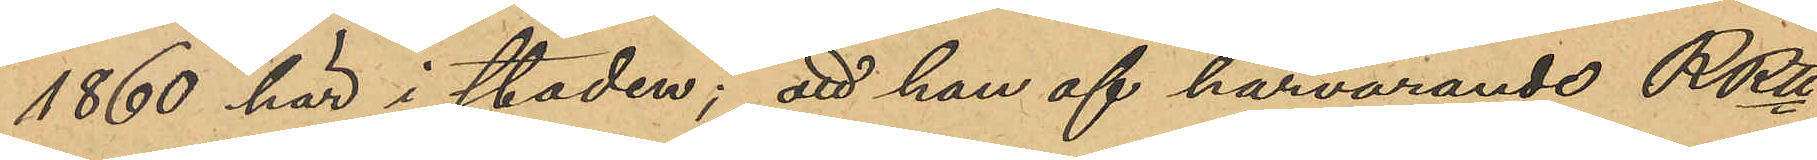1860 här i staden; att han af härvarande RRtt
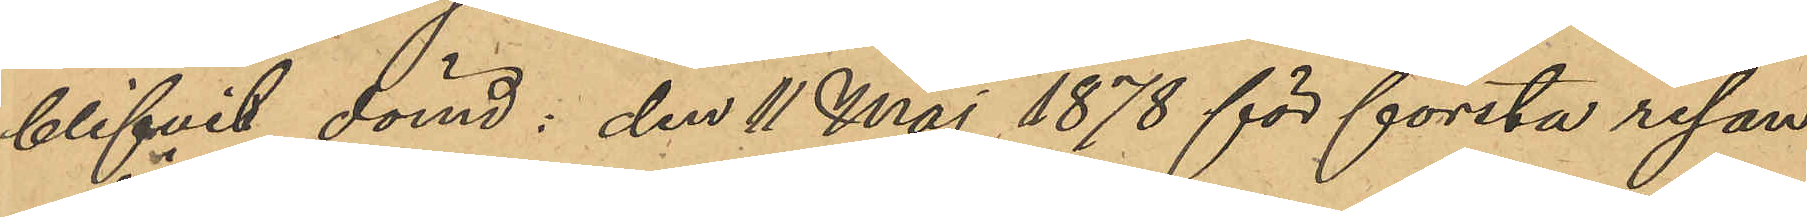blifvit dömd den 11 Maj 1878 för första resan
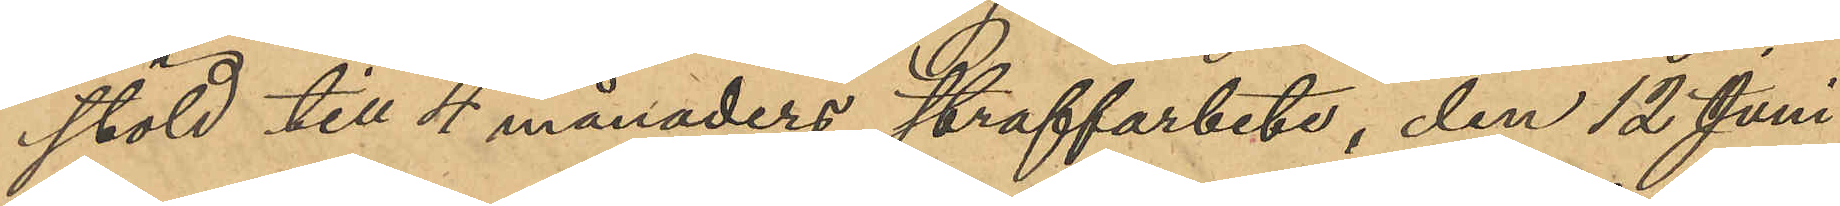stöld till 4 månaders straffarbete, den 12 Juni
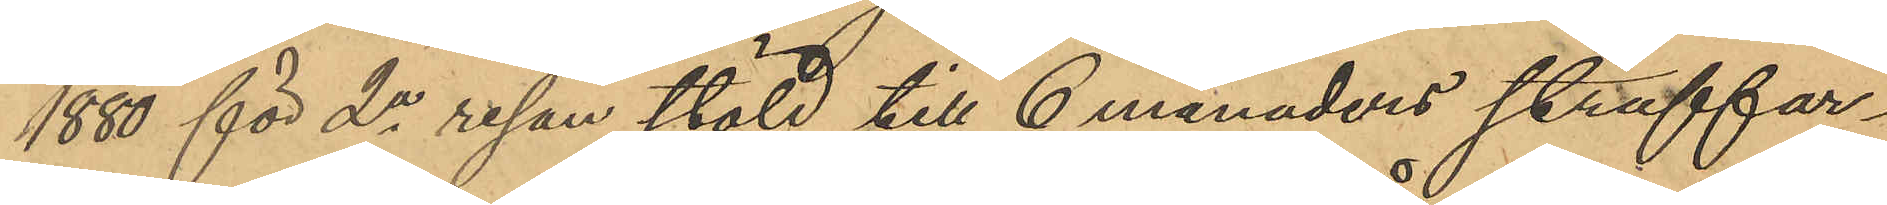1880 för 2a resan stöld till 6 månaders straffar¬
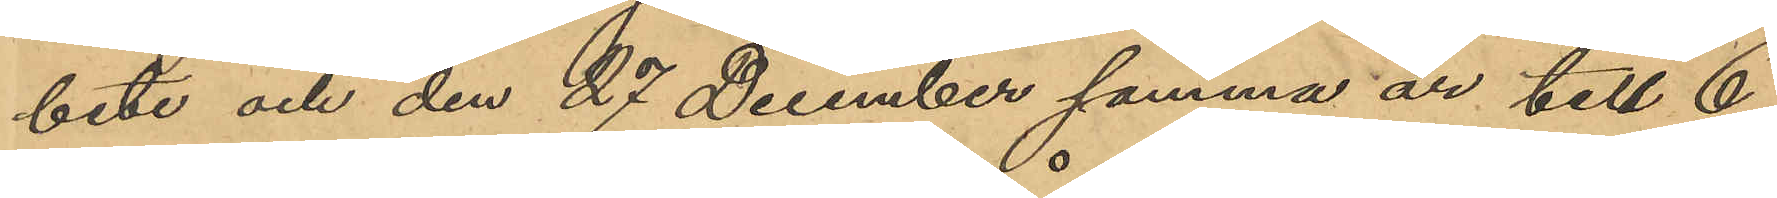bete och den 27 December samma år till 6
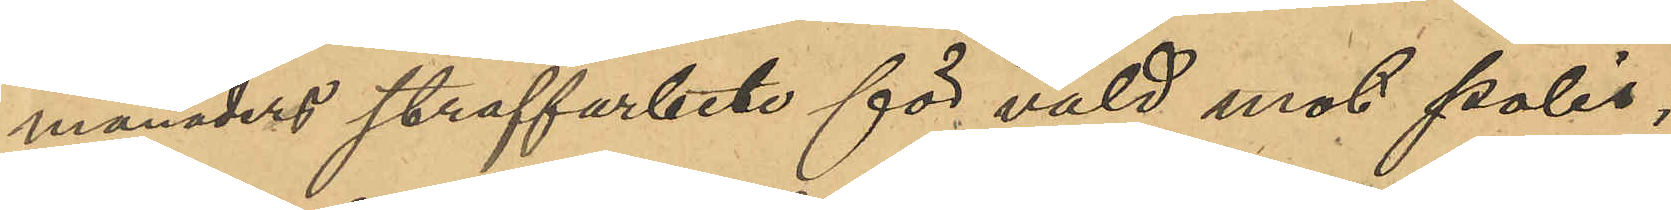månaders straffarbete för våld mot polis;
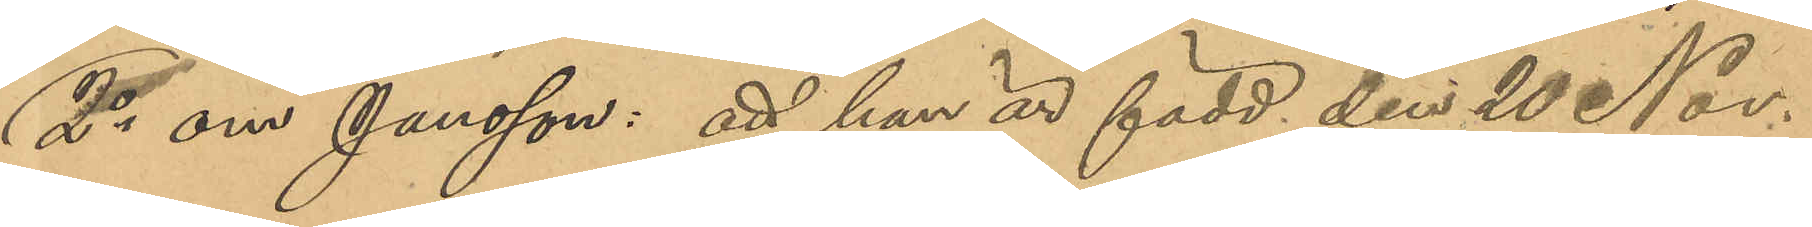2o om Jansson: att han är född den 20 Nov.
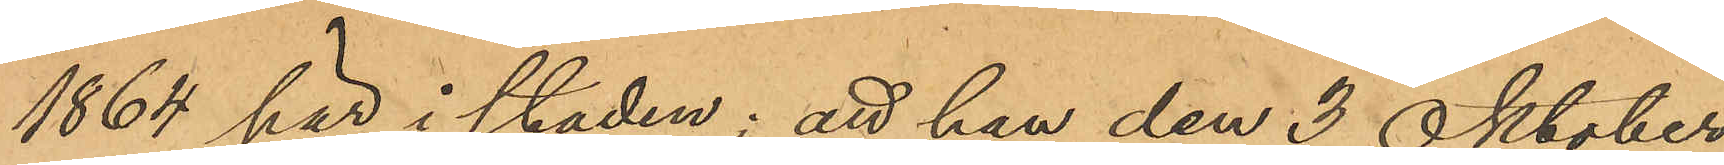1864 här i staden; att han den 3 Oktober
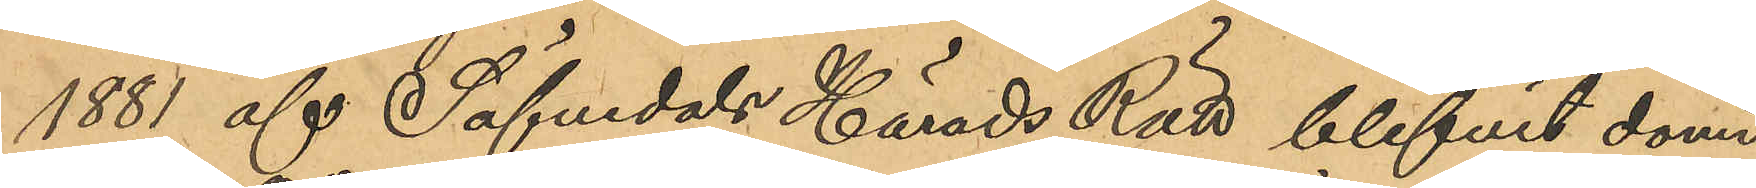1881 af Säfvedals Härads Rätt blifvit dömd
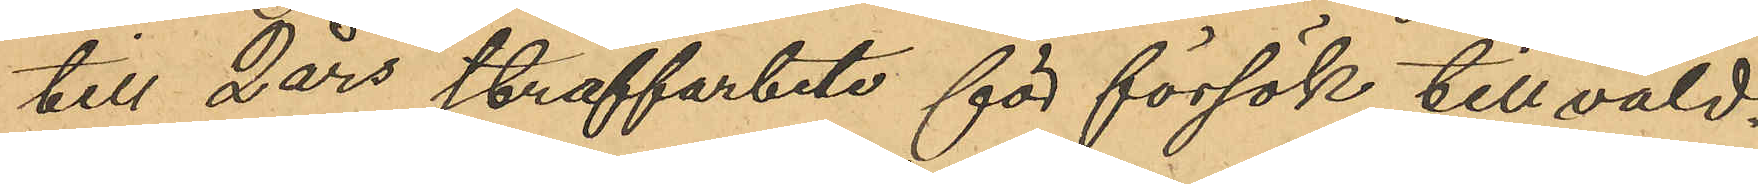till 2 års straffarbete för försök till våld¬
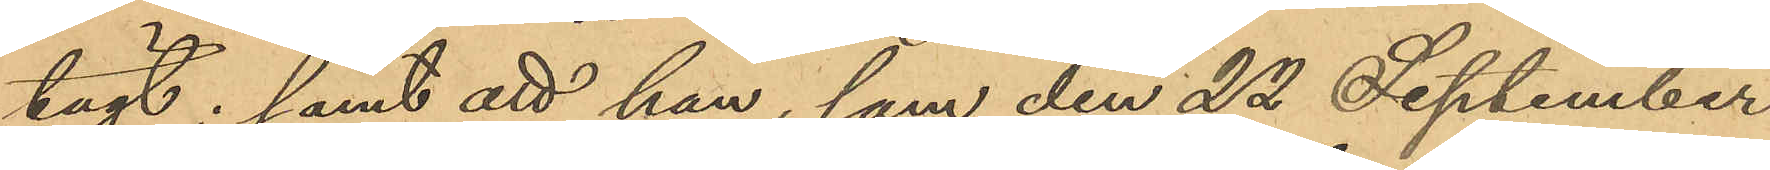tägt; samt att han, som den 22 September
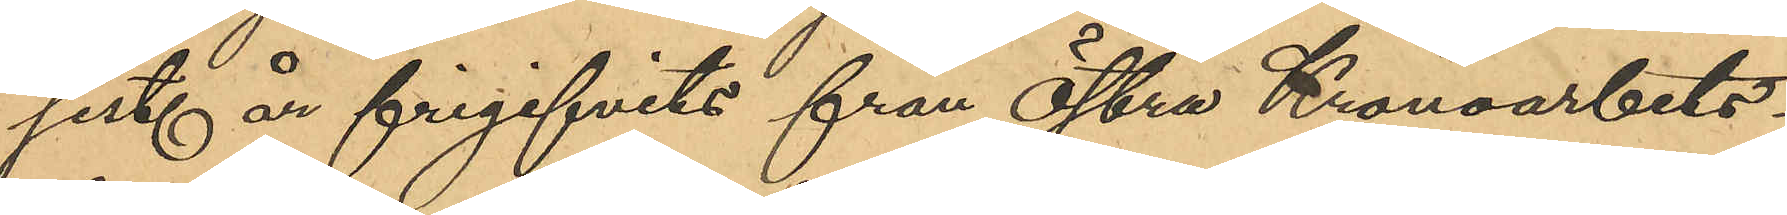sist. år frigifvits från Östra Kronoarbets-
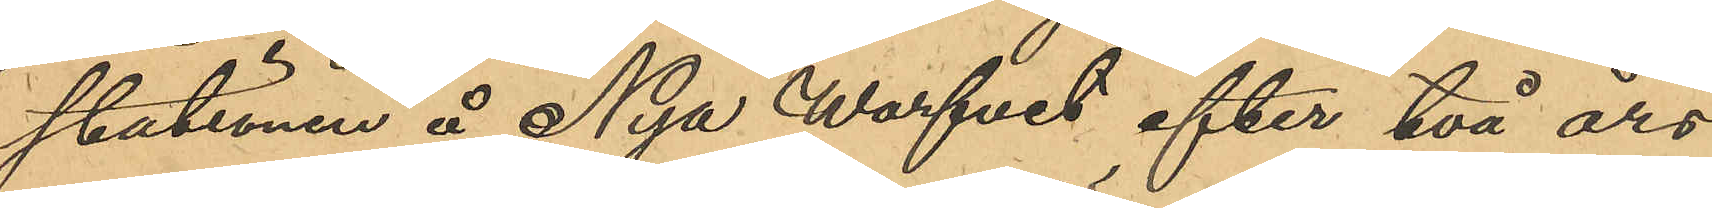stationen å Nya Warfvet efter 2 års
